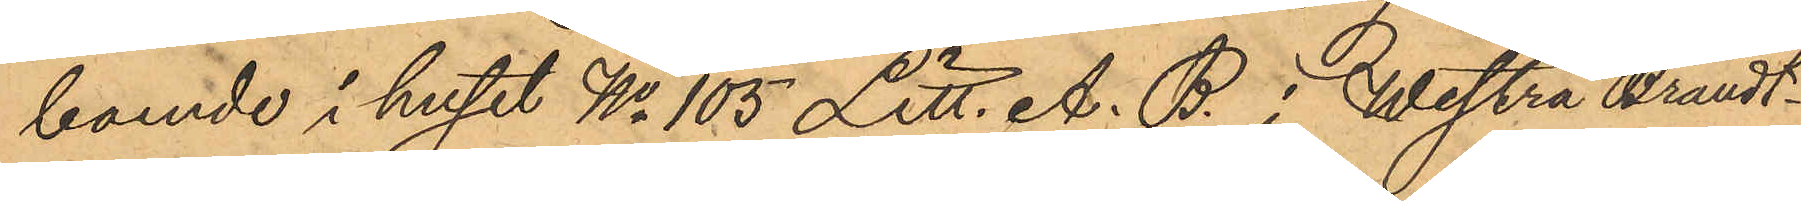boende i huset No 105 Litt. A. B. i Westra Brandt¬
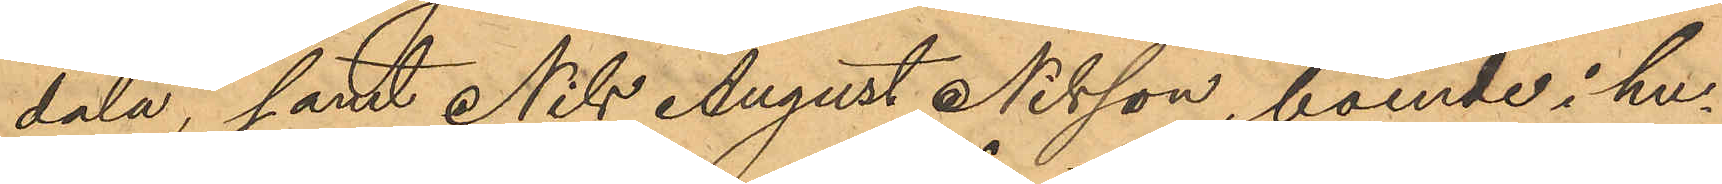dala, samt Nils August Nilsson, boende i hu¬
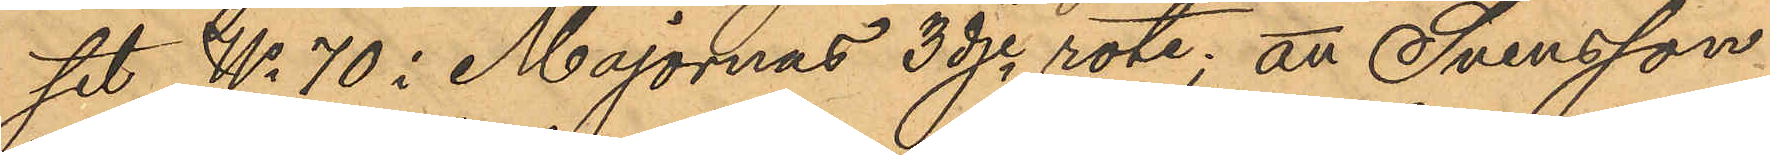set No 70 i Majornas 3dje rote; att Svensson
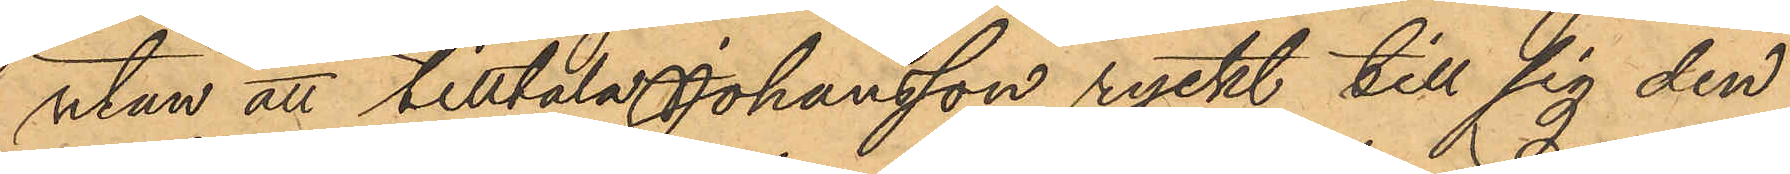utan att tilltala Johansson ryckt till sig den
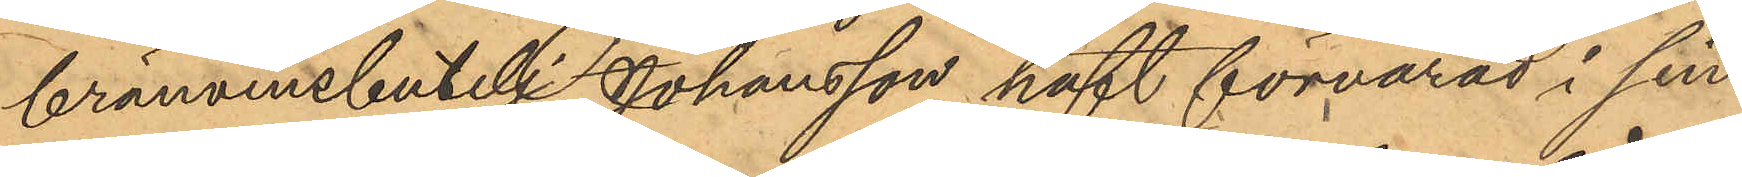brännvinsbutelj Johansson haft förvarad i sin
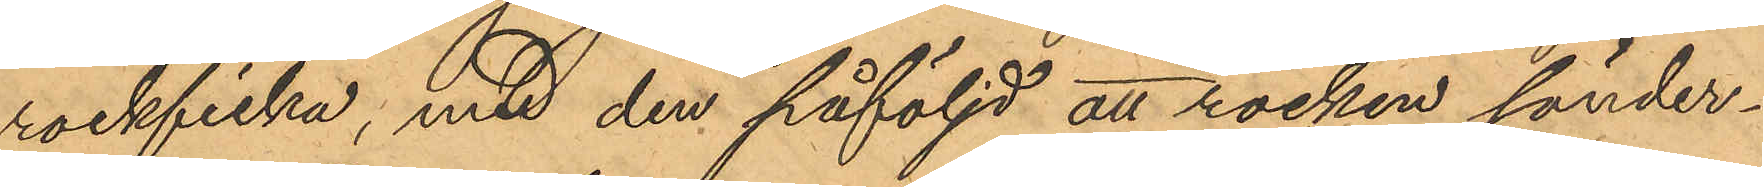rockficka, med den påföljd att rocken sönder¬
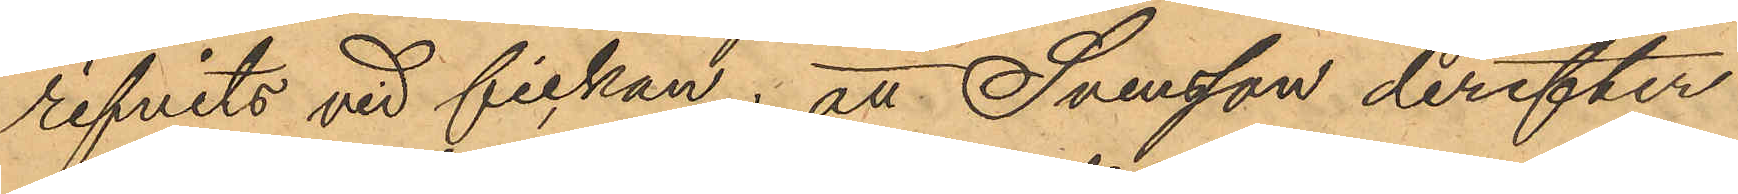rifvits vid fickan; att Svensson derefter
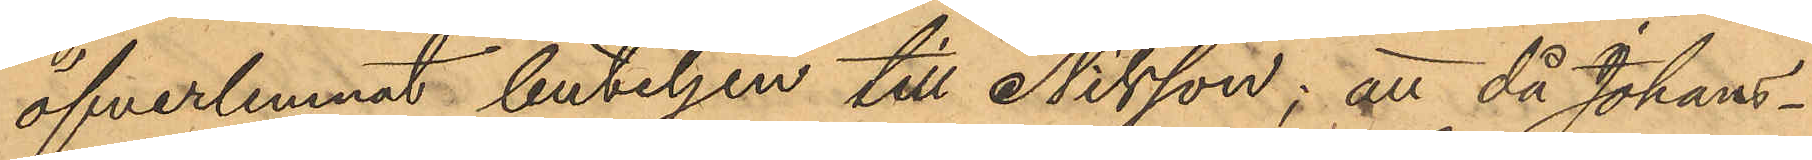öfverlemnat buteljen till Nilsson; att då Johans¬
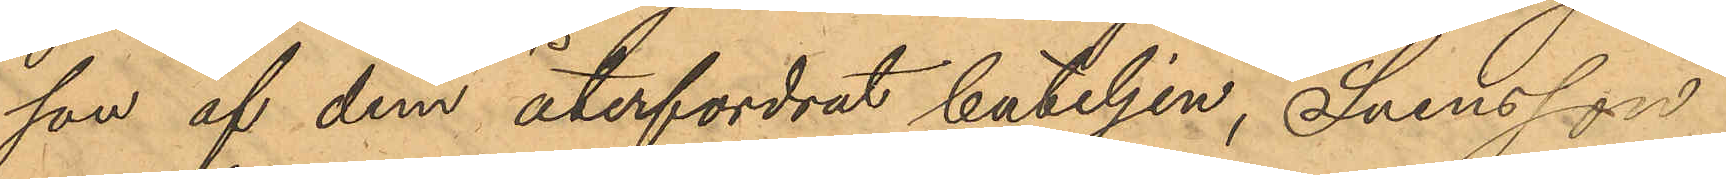son af dem återfordrat buteljen, Svensson
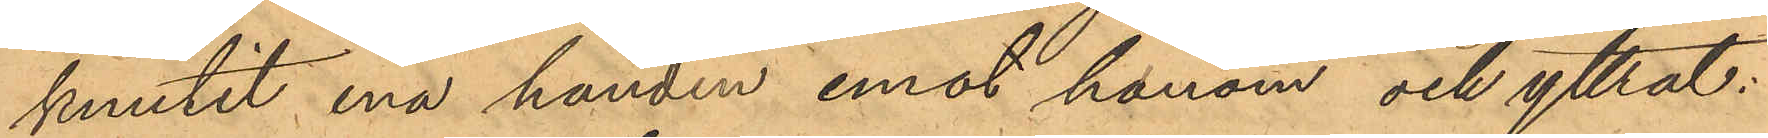knutit ena handen emot honom och yttrat:
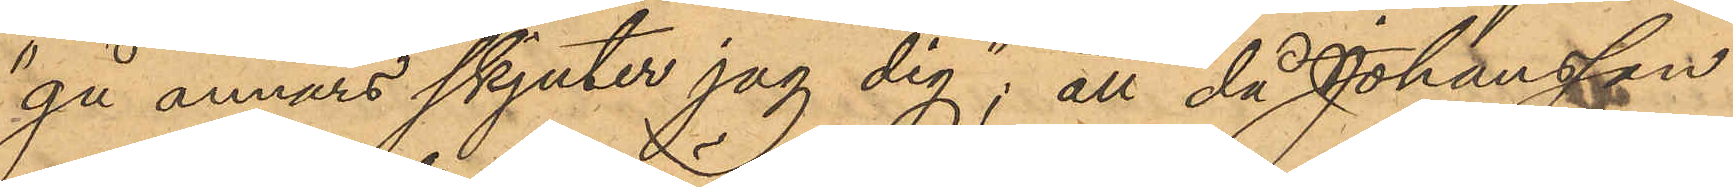"gå annars skjuter jag dig"; att då Johansson
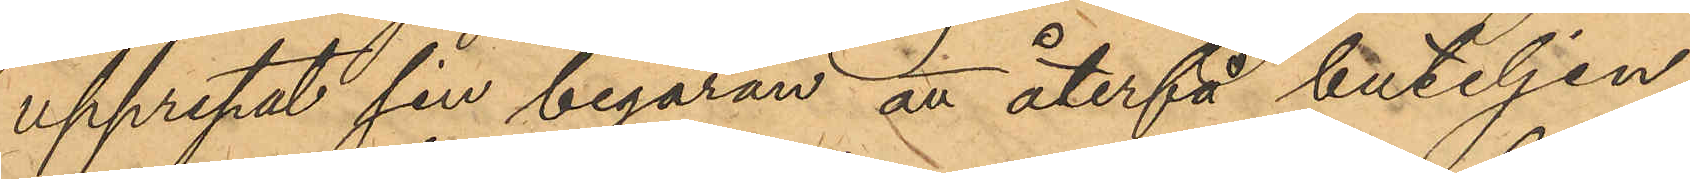upprepat sin begäran att återfå buteljen,
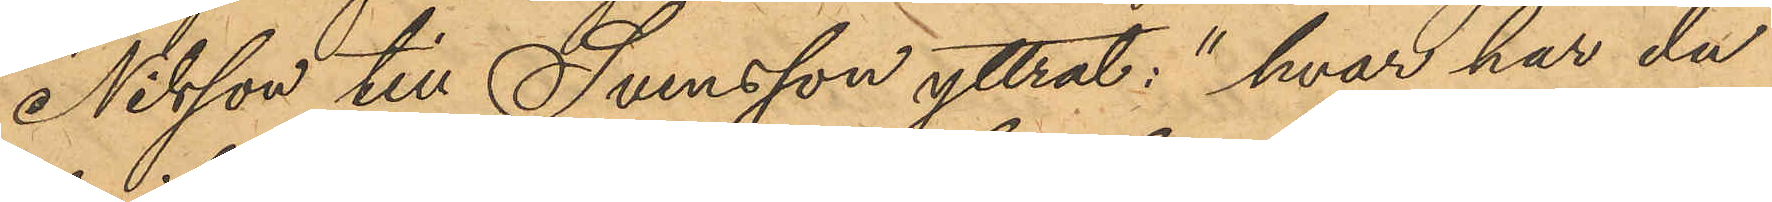Nilsson till Svensson yttrat: "hvar har du
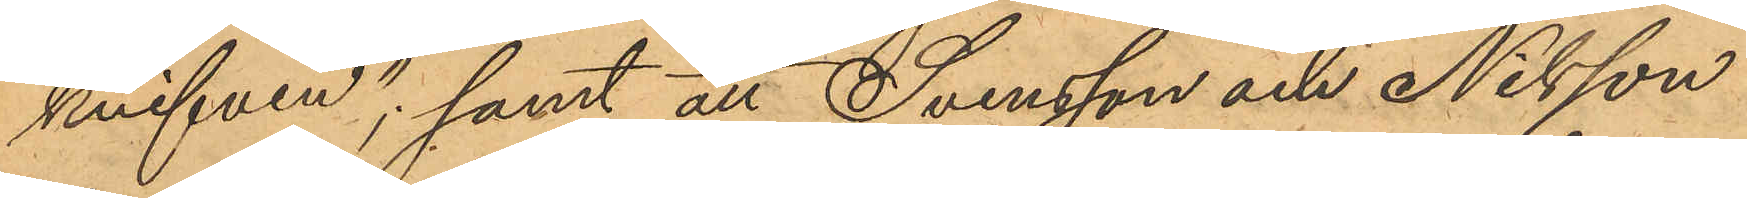knifven"; samt att Svensson och Nilsson
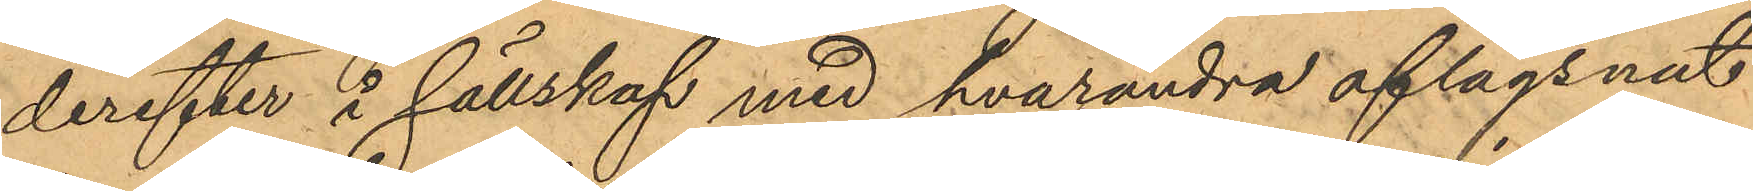derefter i sällskap med hvarandra aflägsnat
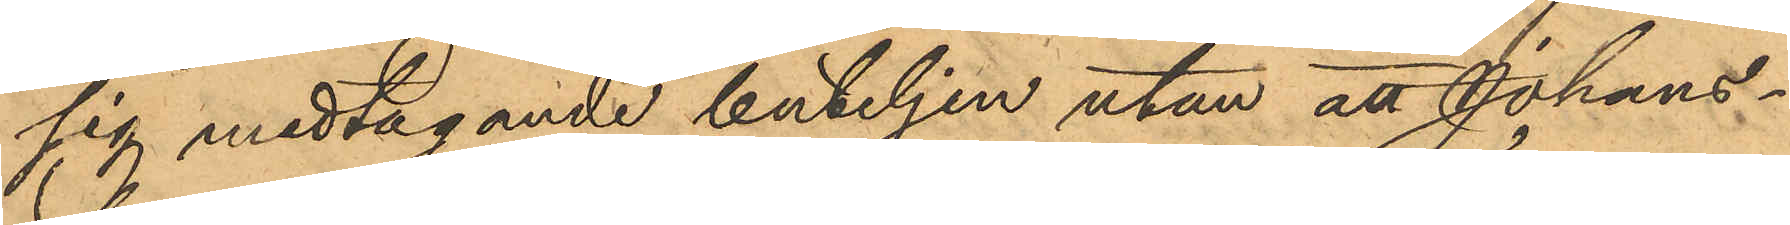sig medtagande buteljen utan att Johans¬
